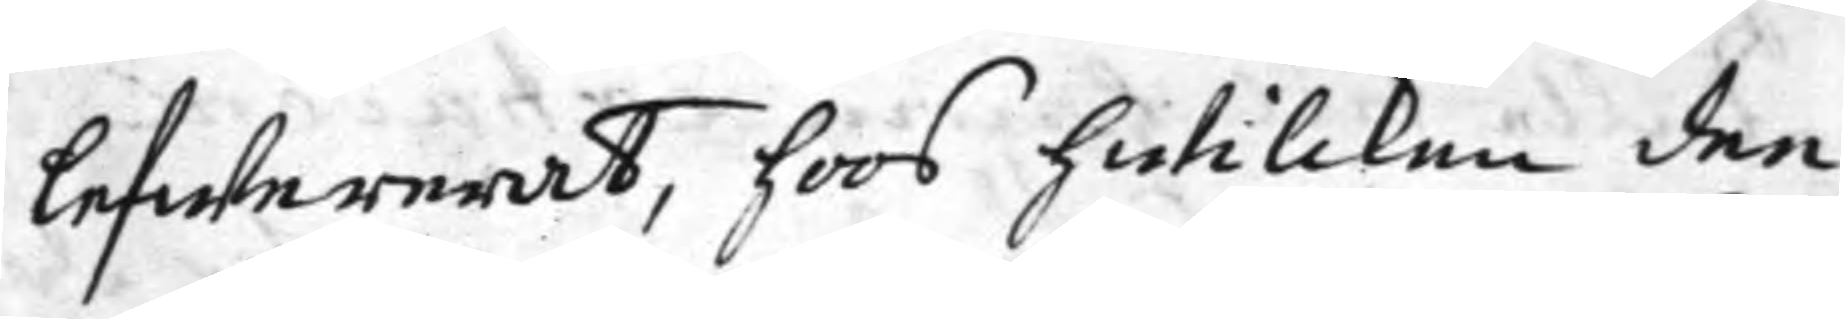lefwererat, hoos hwilcken dee
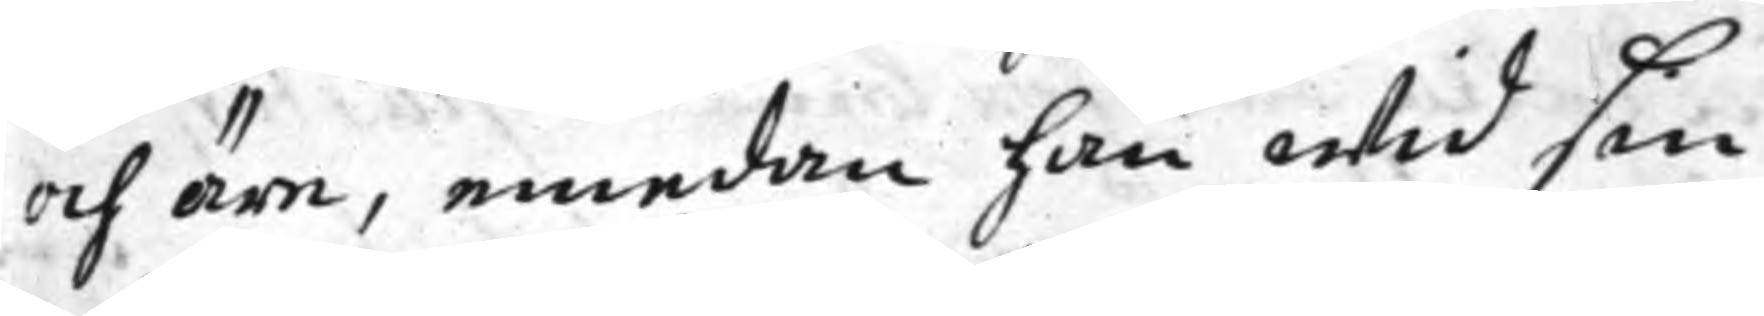och äre, emedan han wid sin
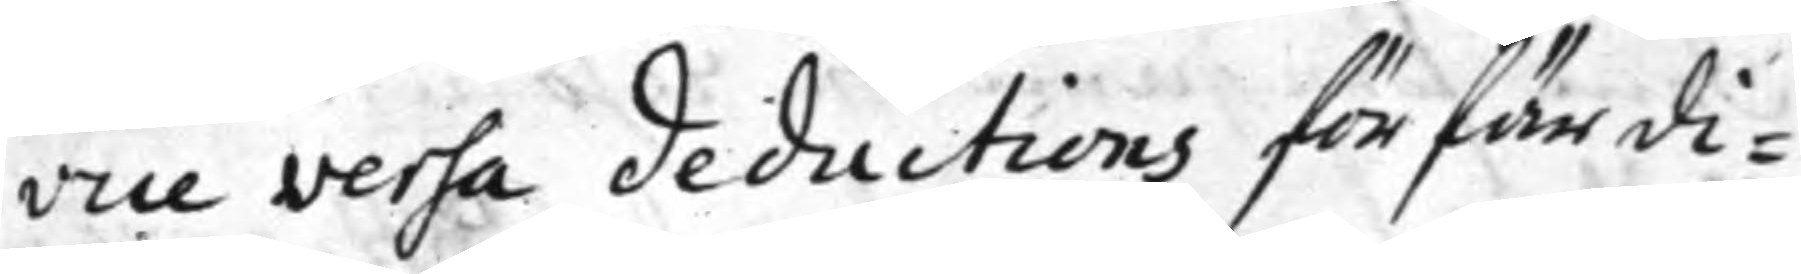vice versa deductions förfärdi¬
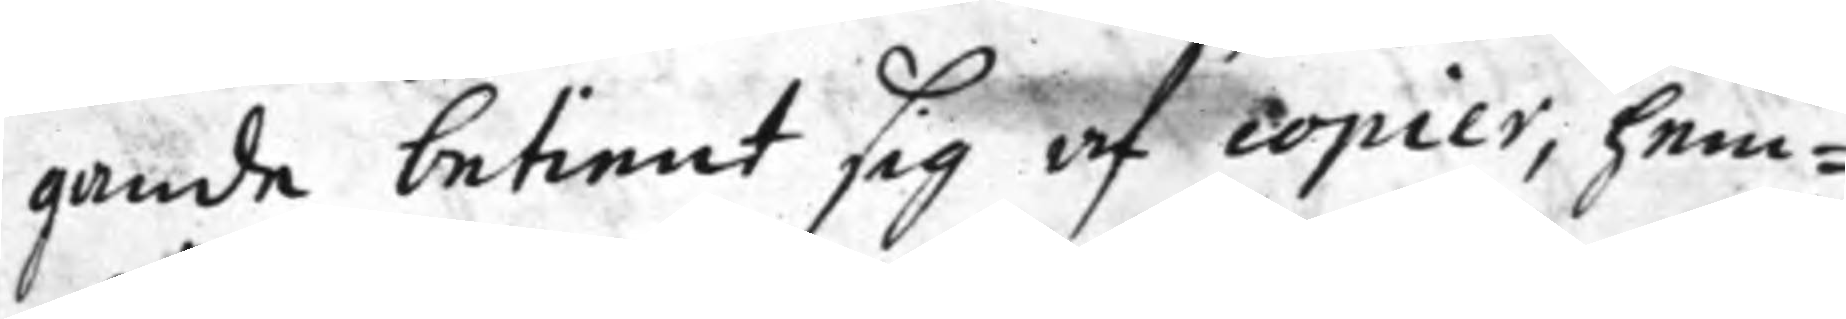gande betient sig af copier, hem¬
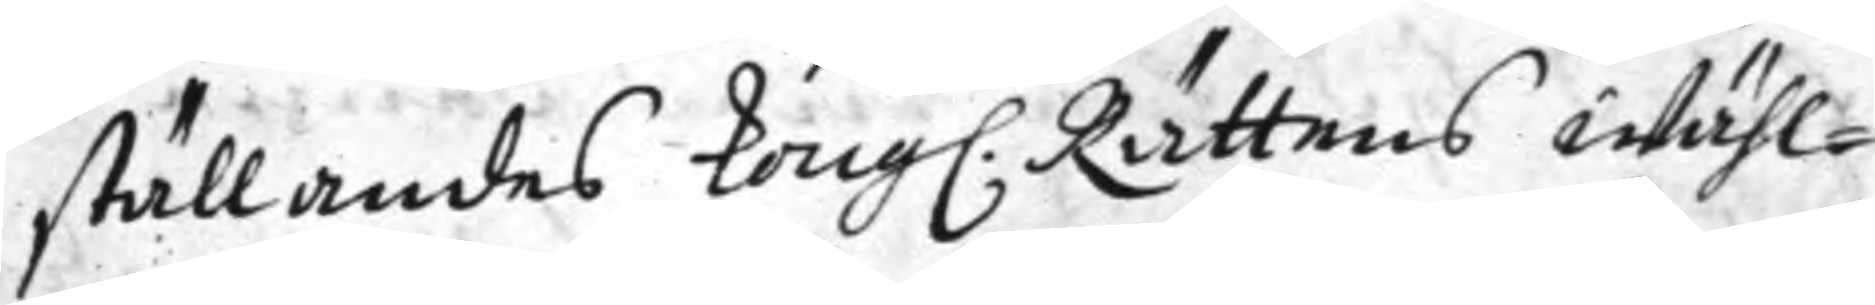ställandes Kong. Rättens wähl¬
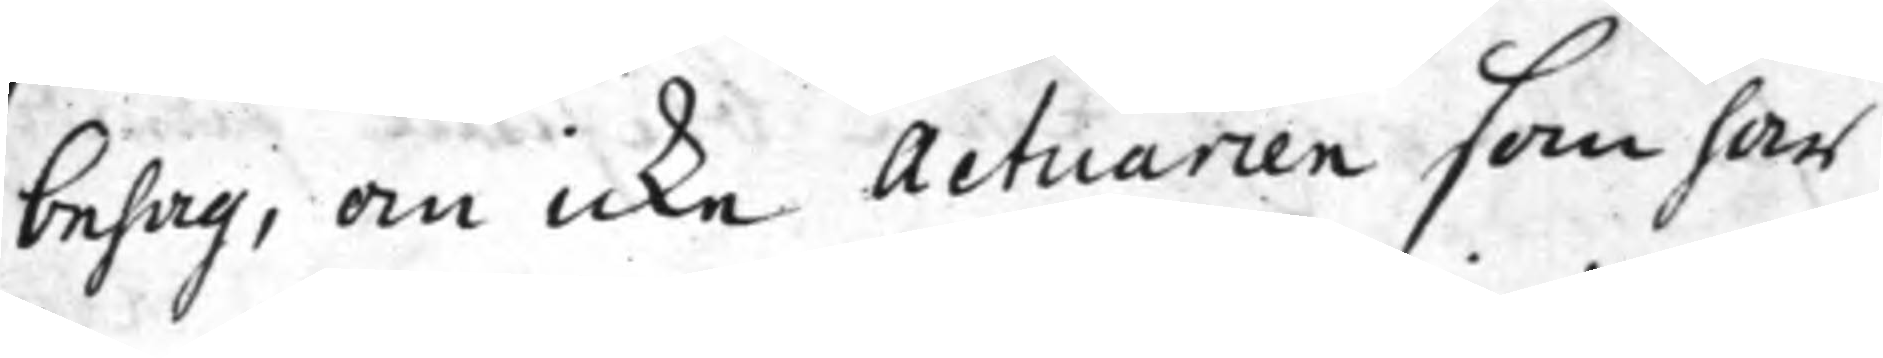behag, om icke Actuarien som har
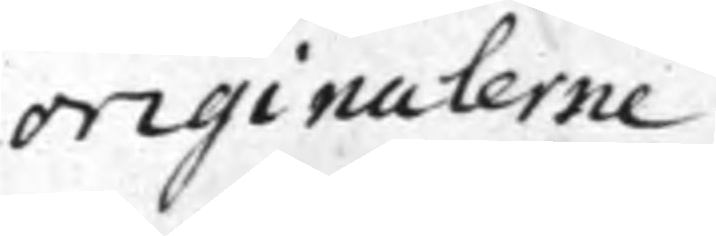originalerne
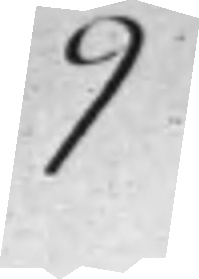9
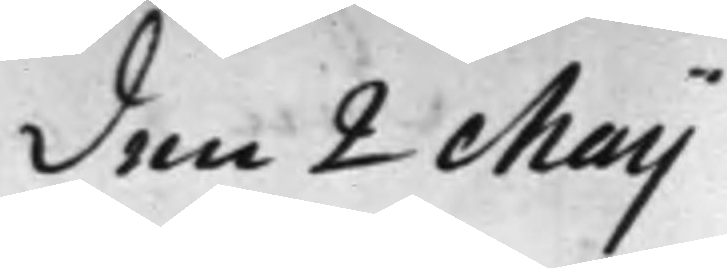den 2 Maij
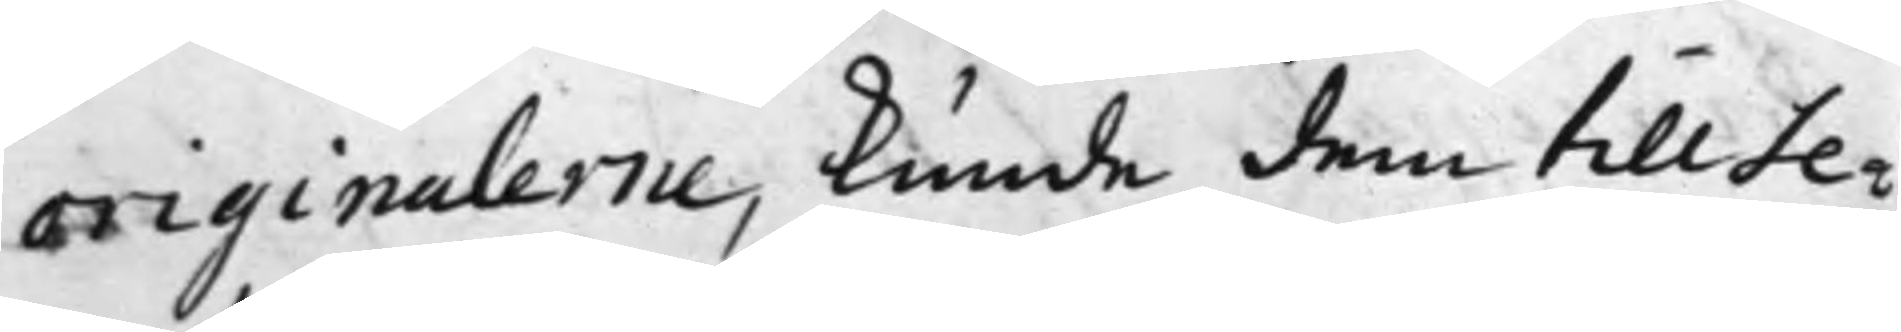originalerne, kunde dem till Se¬
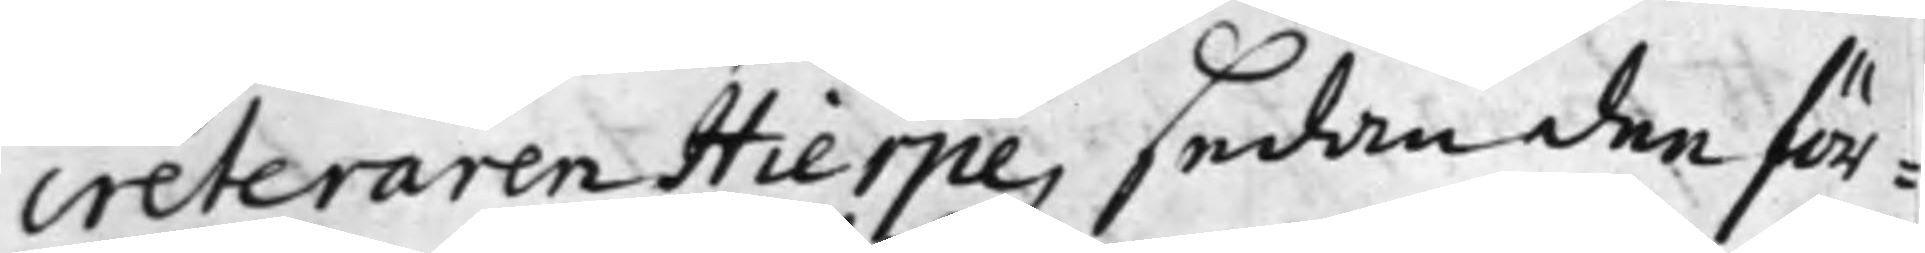creteraren Hierpe, sedan dee för¬
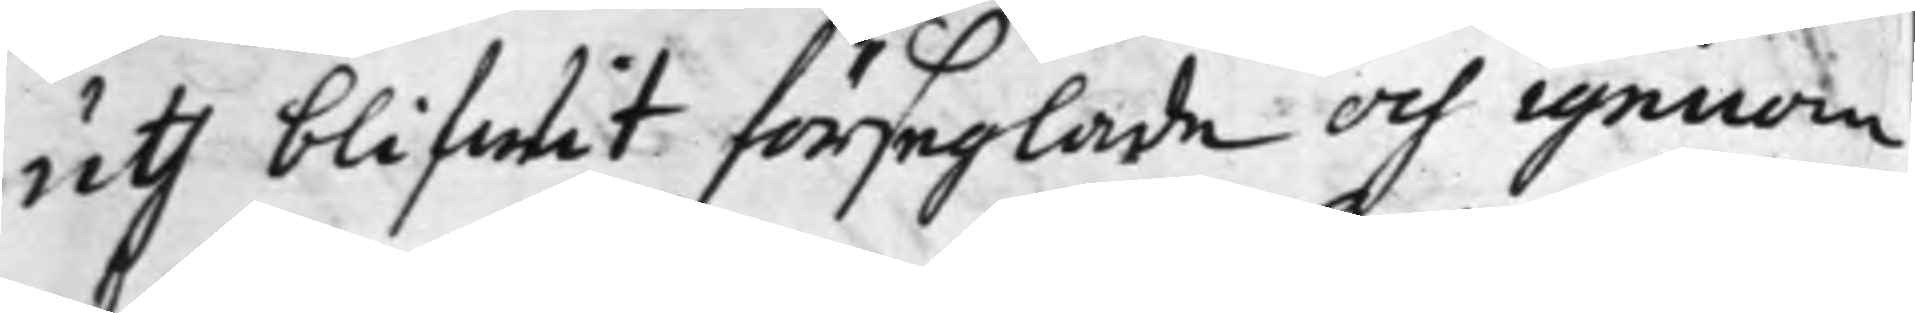uth blifwit förseglade och igenom
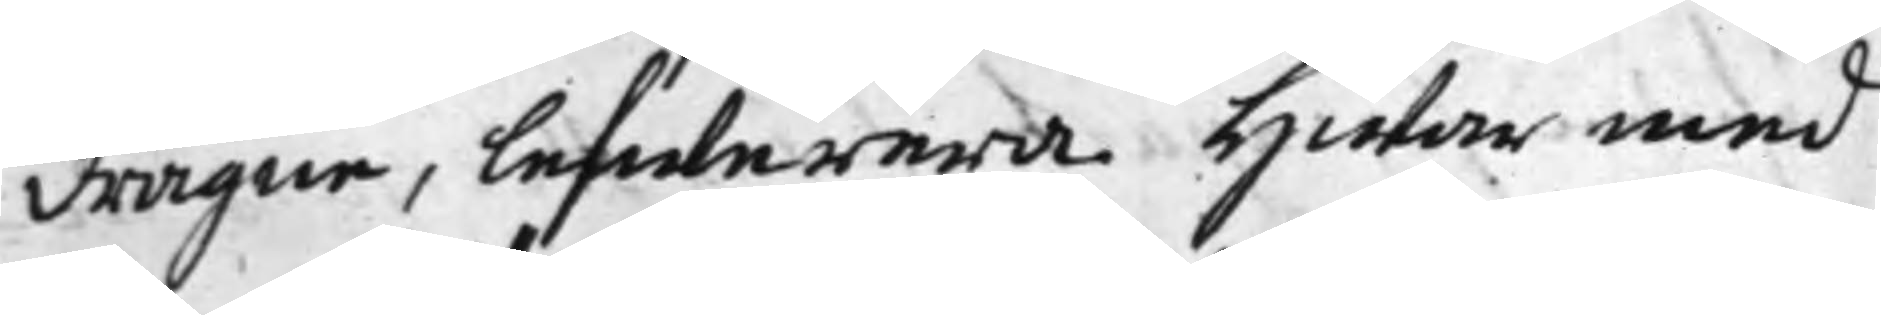dragne, lefwerera. Hwar med
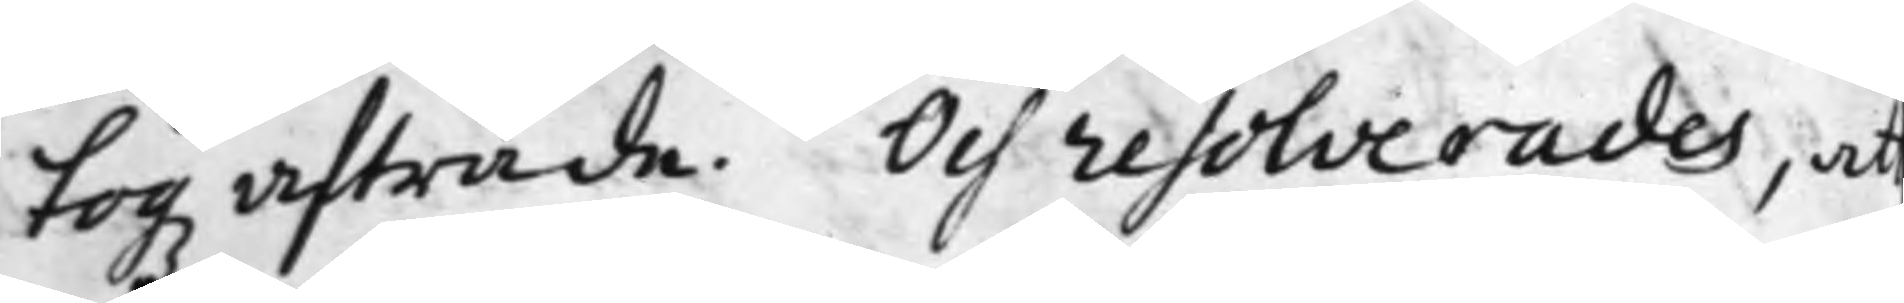togz afträde. Och resolverades, at
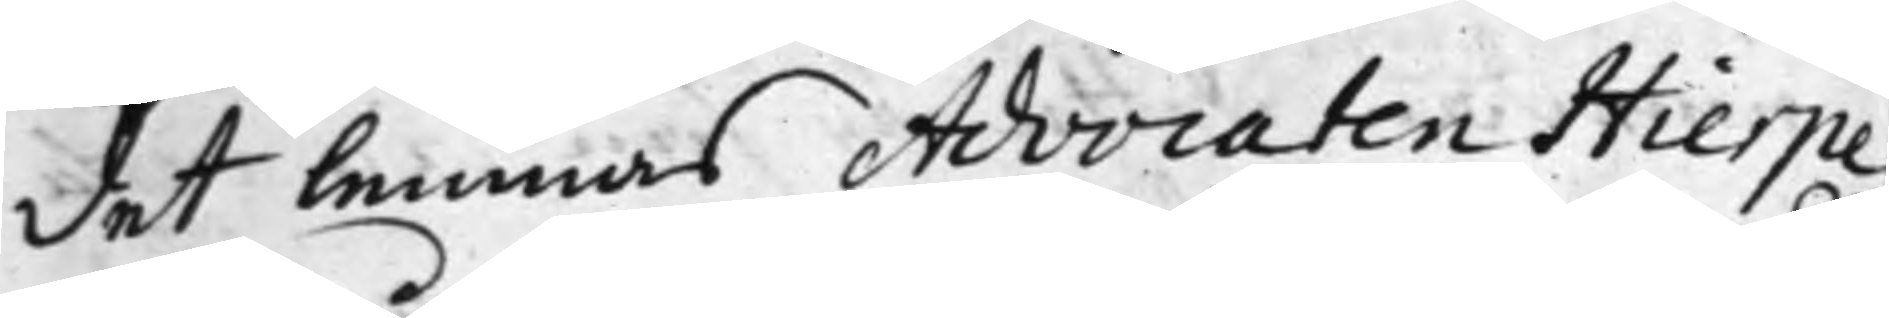det lemnas Advocaten Hierpe
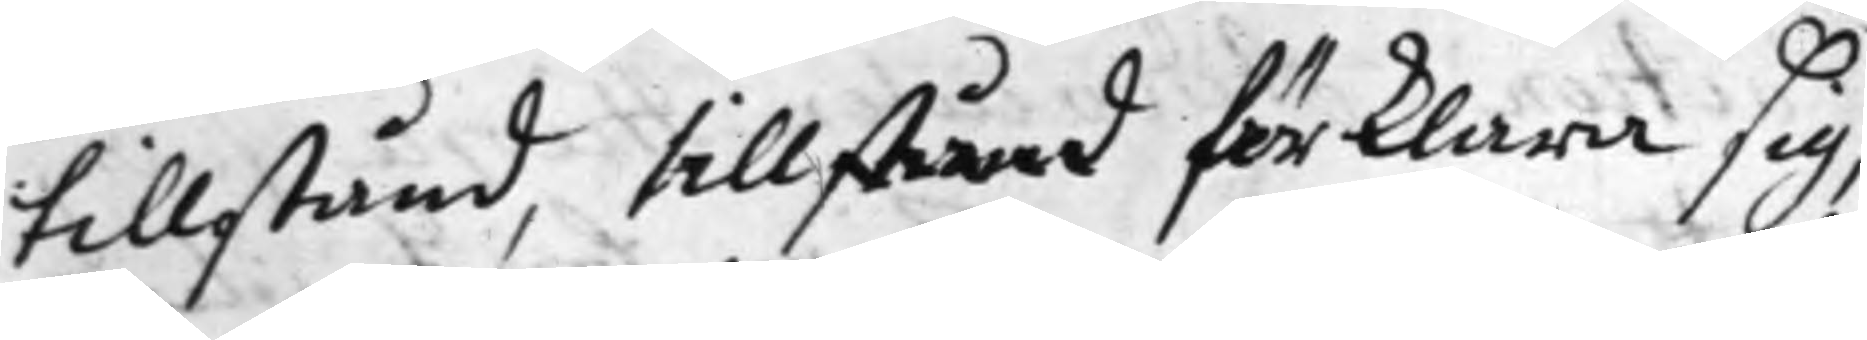tillstånd, tillstånd förklara sig,
